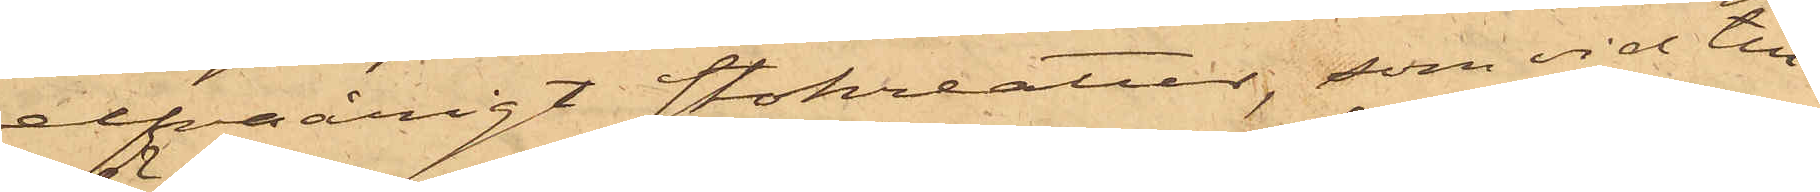elfvaårigt stokreatur, som vid till¬
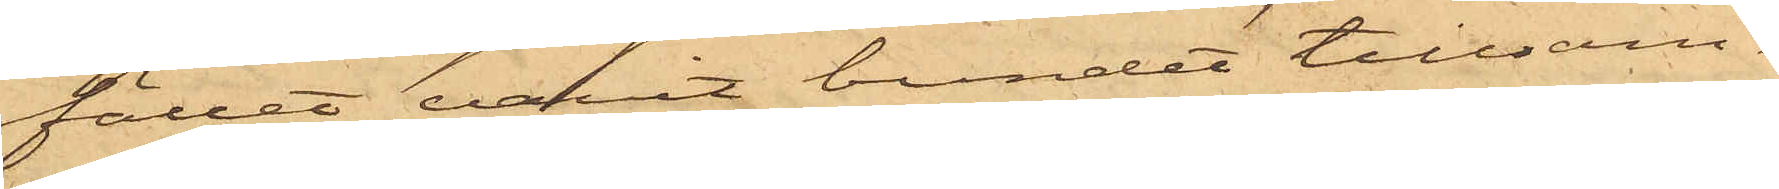fället varit bundet tillsam¬
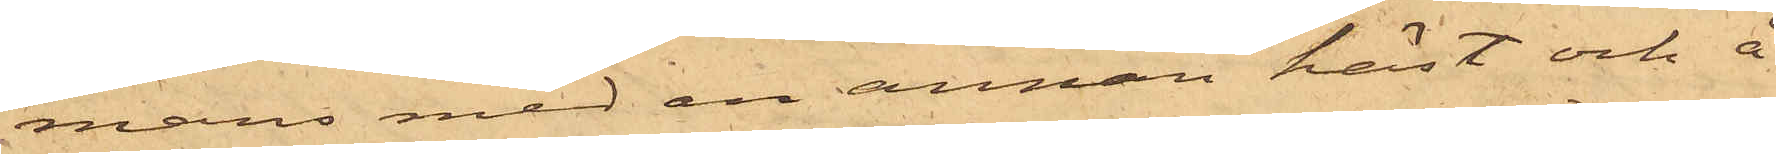mans med en annan häst och å
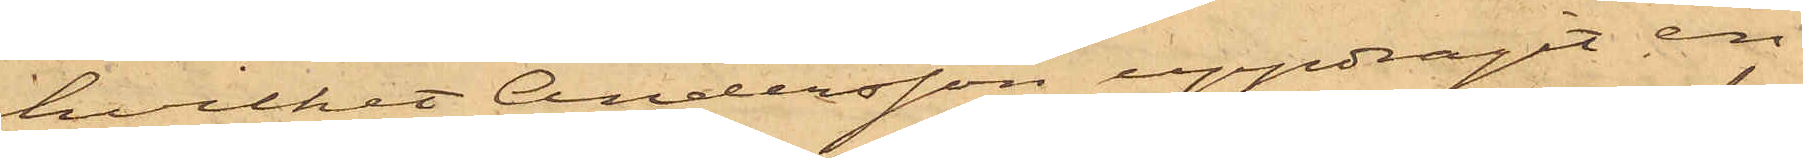hvilket Andersson uppdragit en
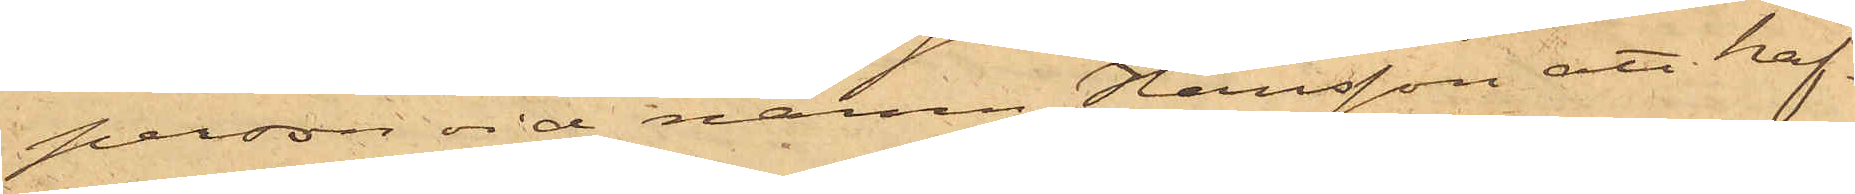person vid namn Hansson att haf¬
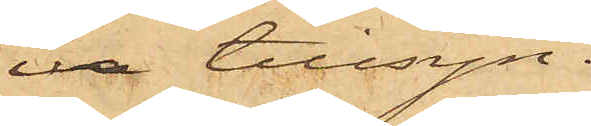va tillsyn.
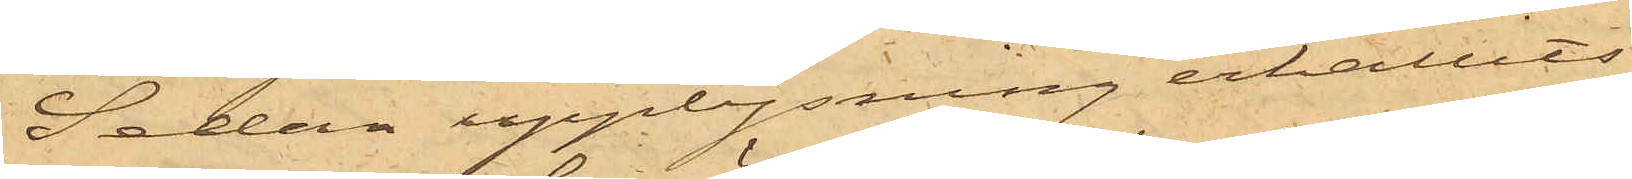Sedan upplysning erhållits
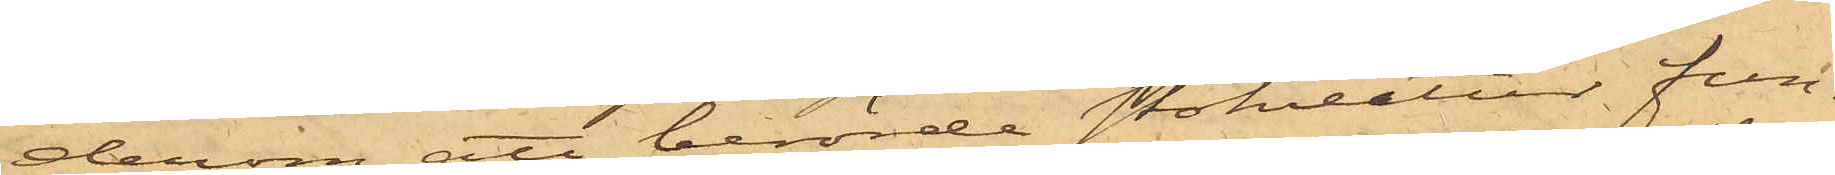derom, att berörde Stokreatur fun¬
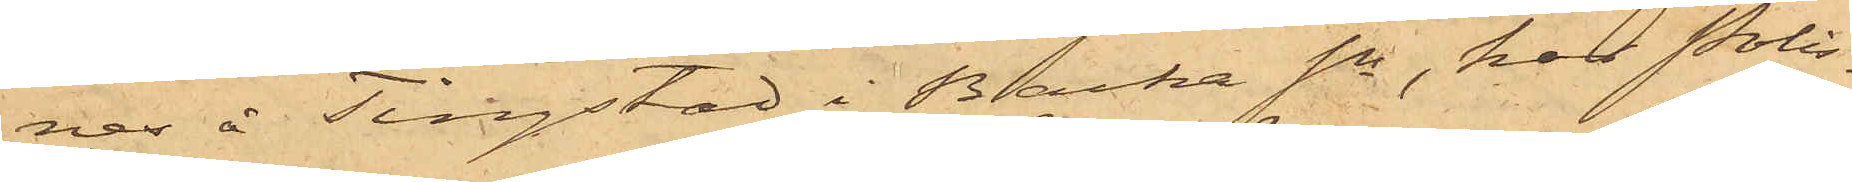nes å Tingstad i Backa Sn, har Polis¬
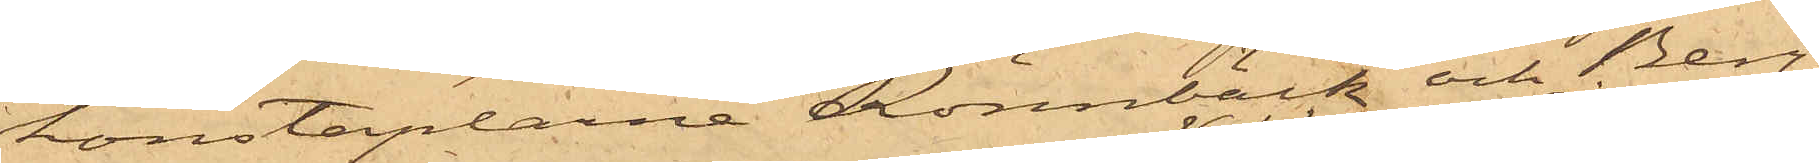konstaplarne Rönnbäck och Berg¬
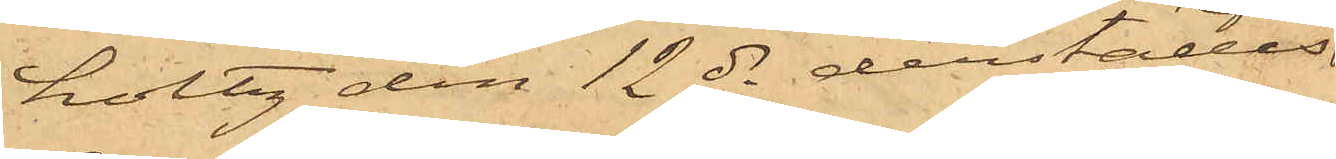holtz den 12 ds derstädes
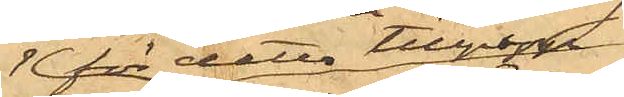för detta tillgrepp
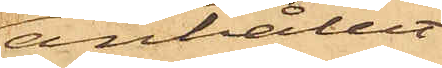anhållit
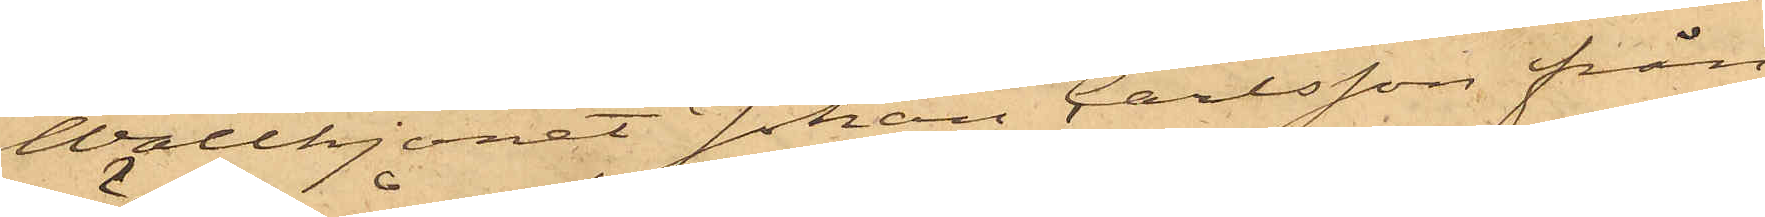Wallhjonet Johan Carlsson från
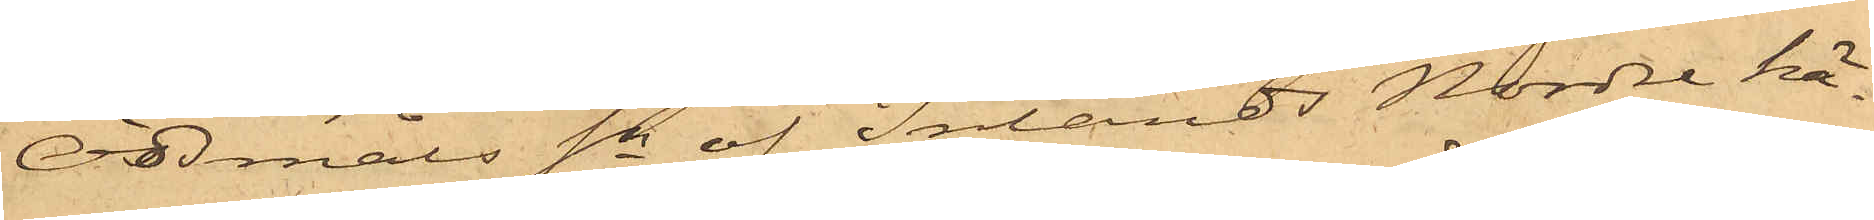Ödsmåls Sn af Inlands Nordre hä¬
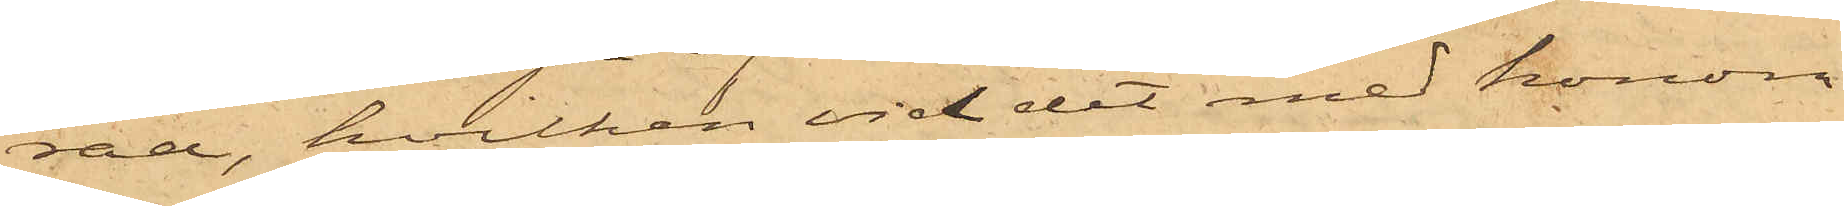rad, hvilken vid det med honom
